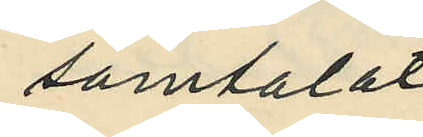samtalat
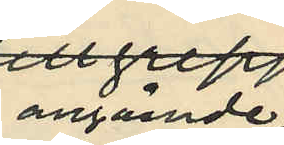angående
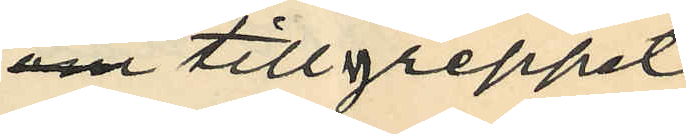om tillgreppet,
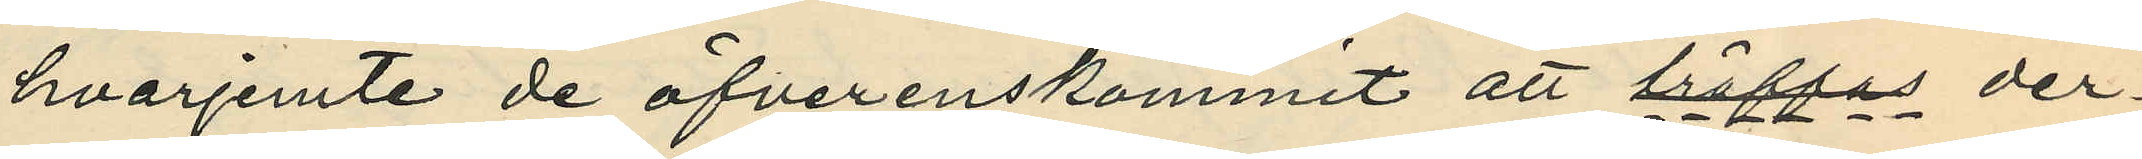hvarjemte de öfverenskommit att träffas der¬
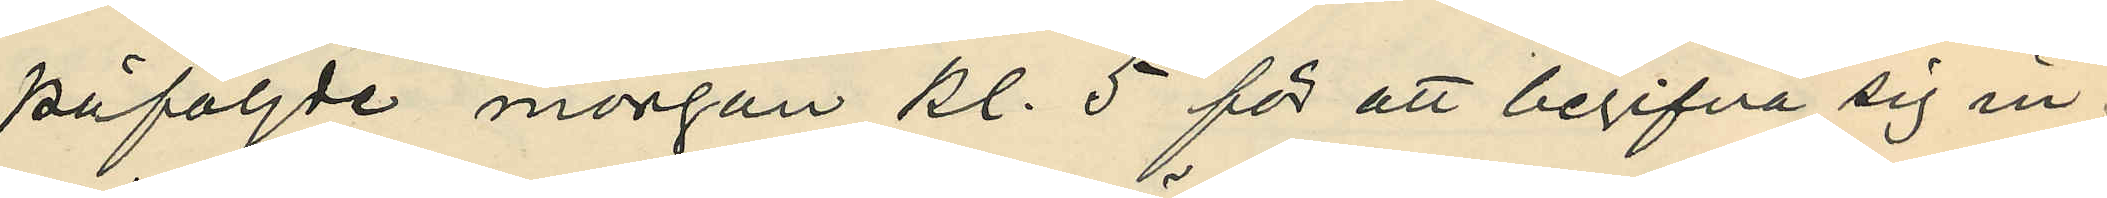påföljde morgon kl. 5 för att begifva sig in¬
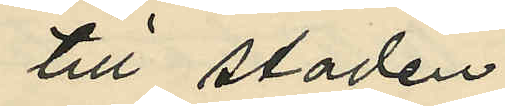till staden
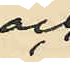och
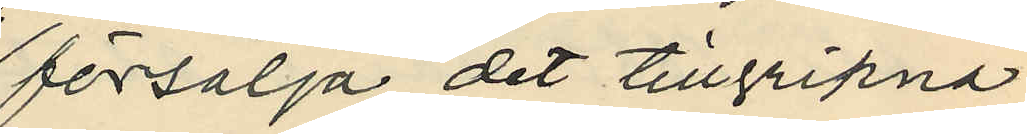försälja det tillgripna;
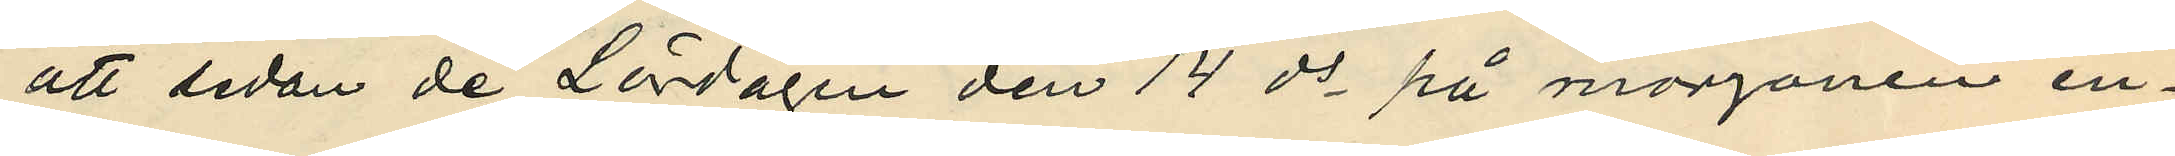att sedan de Lördagen den 14 ds på morgonen en¬
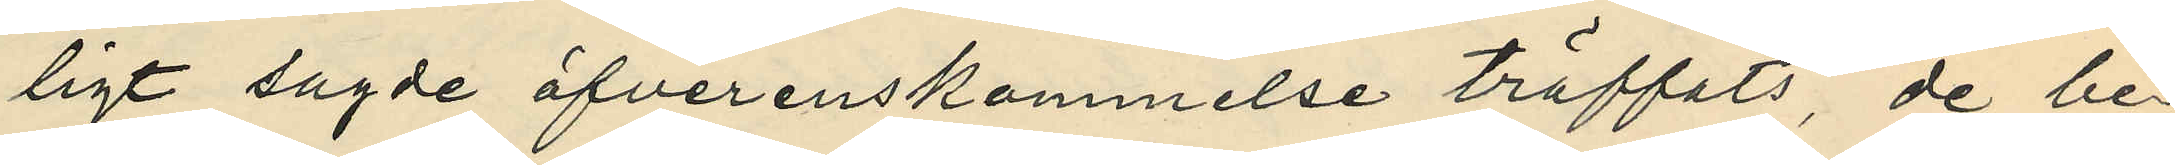ligt sagde öfverenskommelse träffats, de be¬
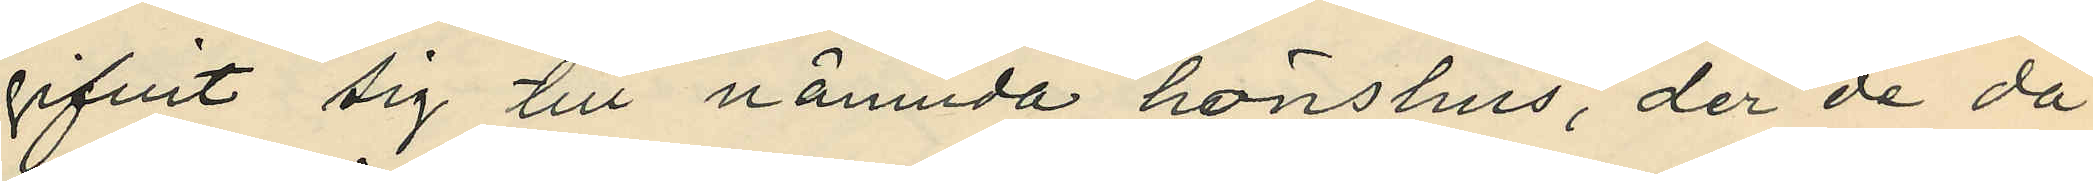gifvit sig till nämnda hönshus, der de då
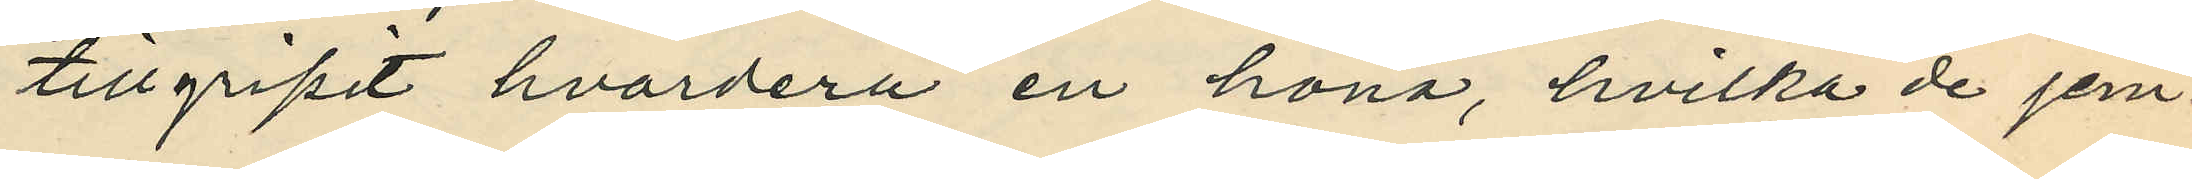tillgripit hvardera en höna, hvilka de jem¬
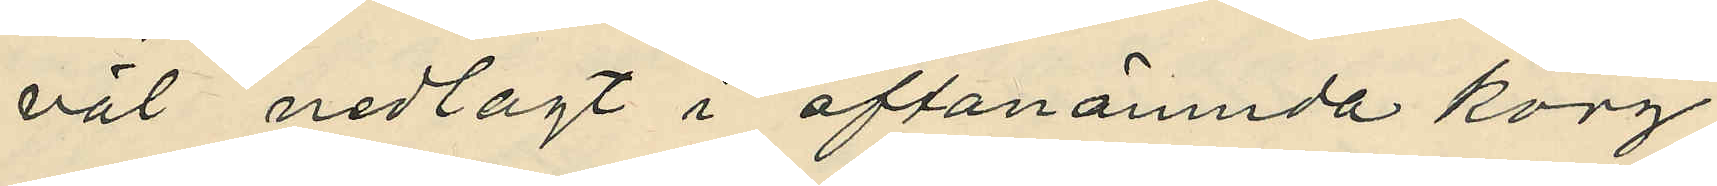väl nedlagt i oftanämnda korg;
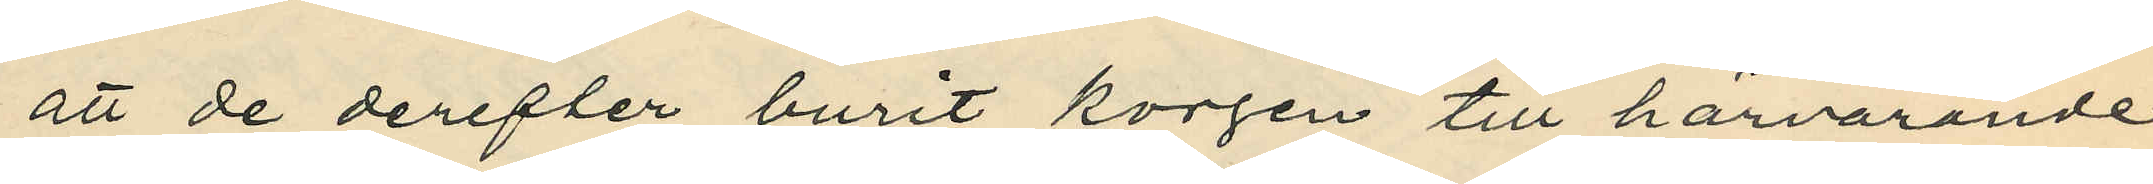att de derefter burit korgen till härvarande
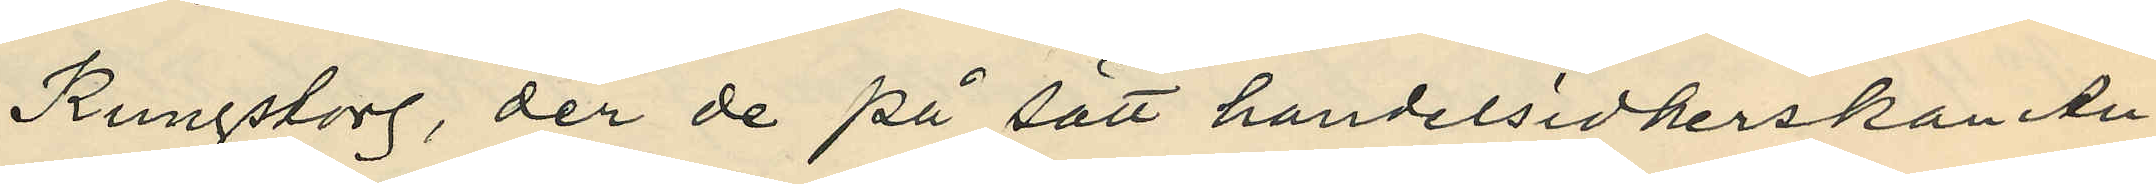Kungstorg, der de på sätt handelsidkerskan An¬
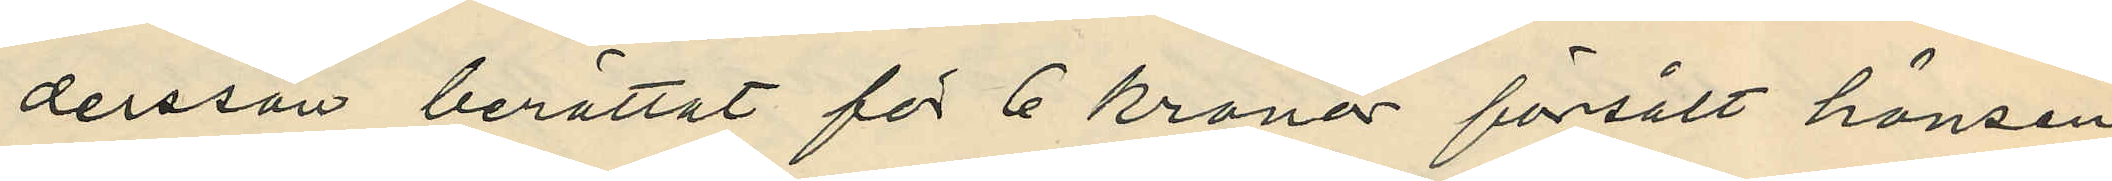dersson berättat för 6 kronor försålt hönsen
